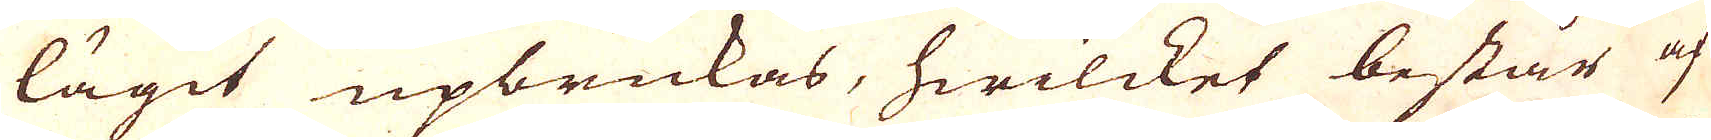lägit upbrukas, hwilcket består af
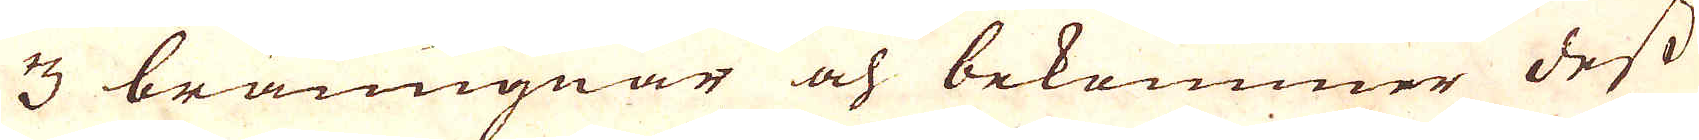3 bränugnar och bekommer dess
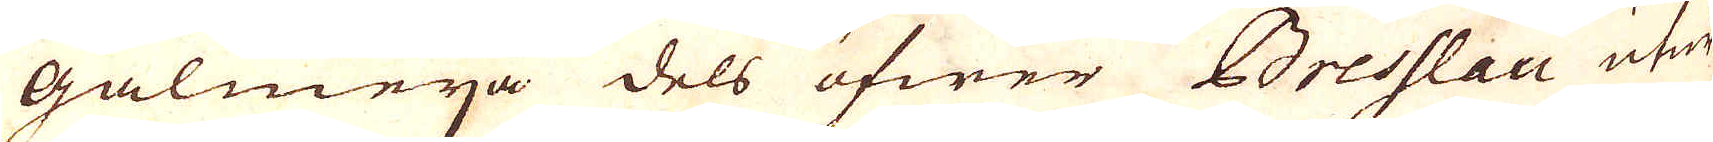Galmeija dels öfwer Bresslau utur
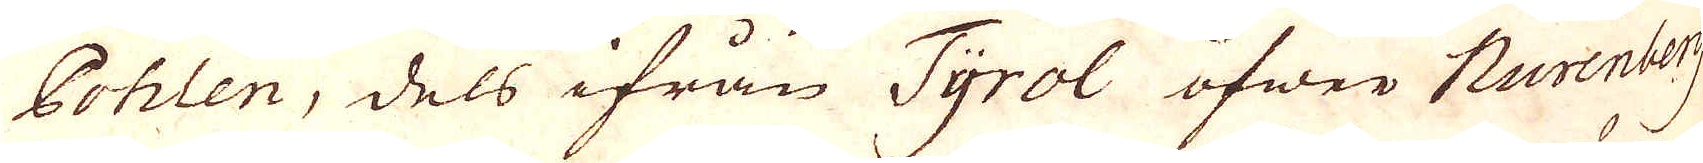Pohlen, dels ifrån Tyrol öfwer Nurenberg
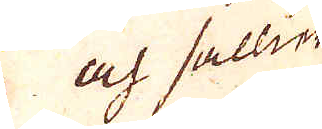och sällier
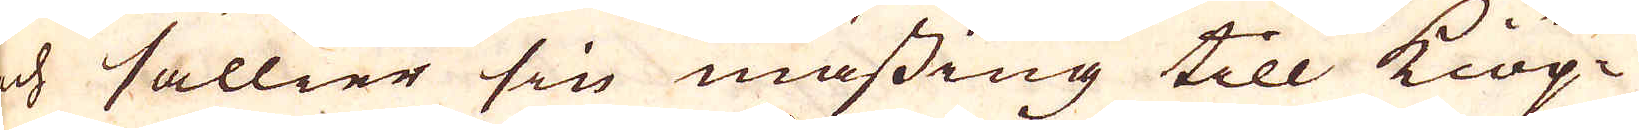och sällier sin mässing till Kiöp-
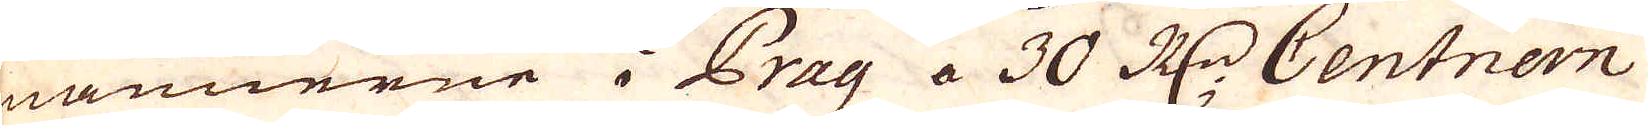männerne i Prag a 30 R:dr Centnern
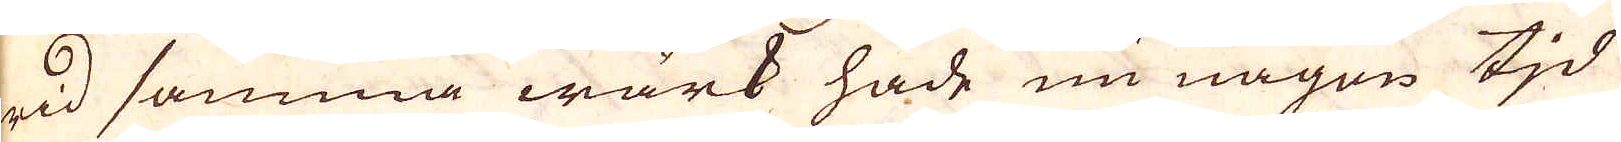wid samma wärk hade nu någon tjd
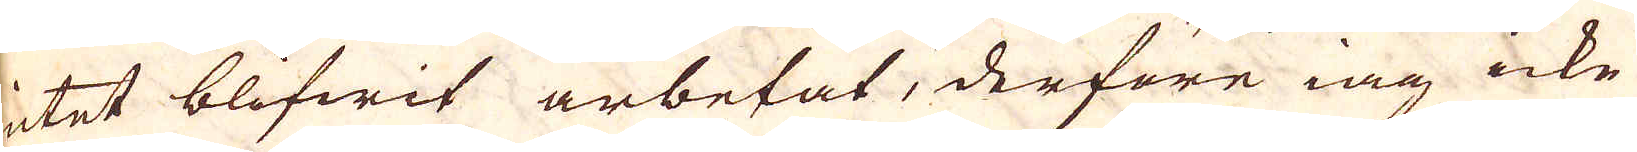intet blifwit arbetat, derföre iag icke
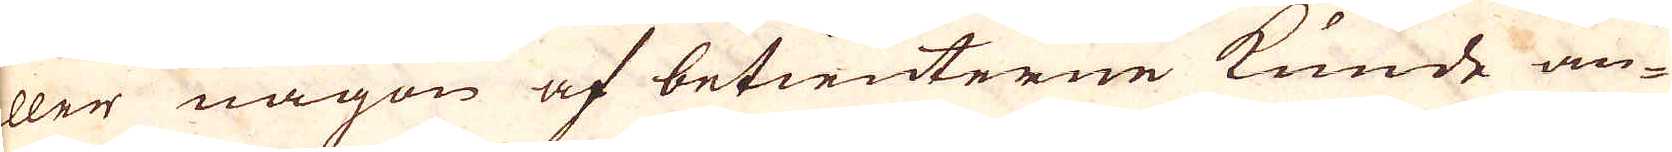eller någon af betienterne kunde an-
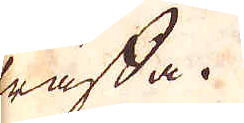träffa.
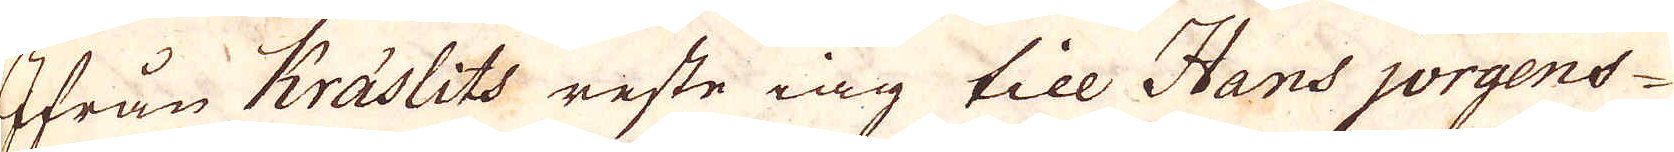Ifrån Kräslits reste iag till Hans jörgens-
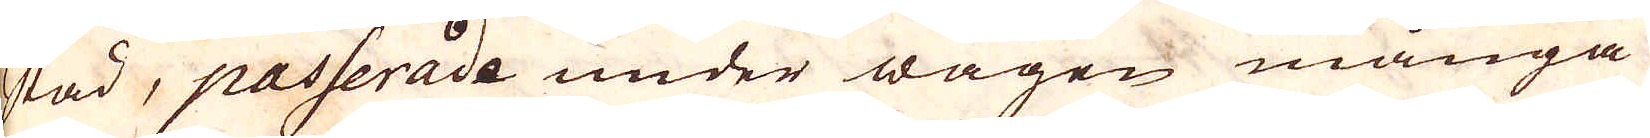stad, passerade under wägen många
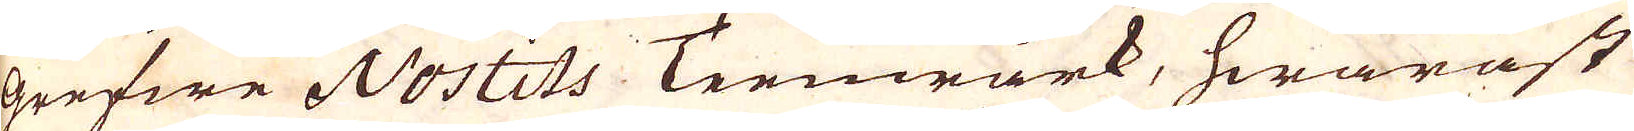grefwe Nostits Teenwärk, hwaräst
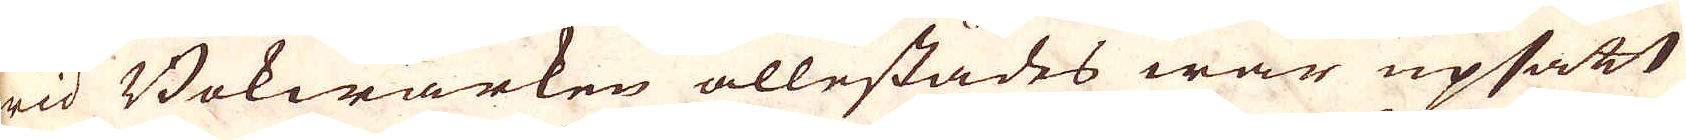wid Bokwärken allestädes war upsatt
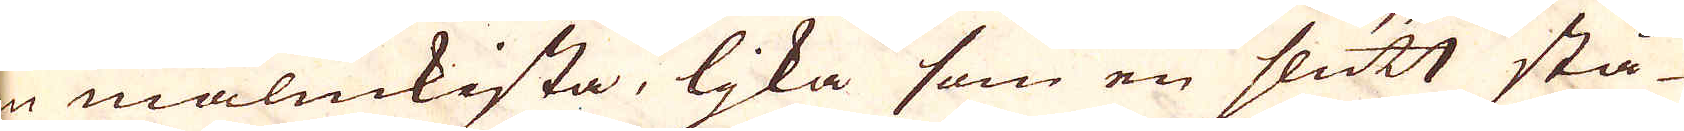en malmkista, ljka som en slutt stå-
